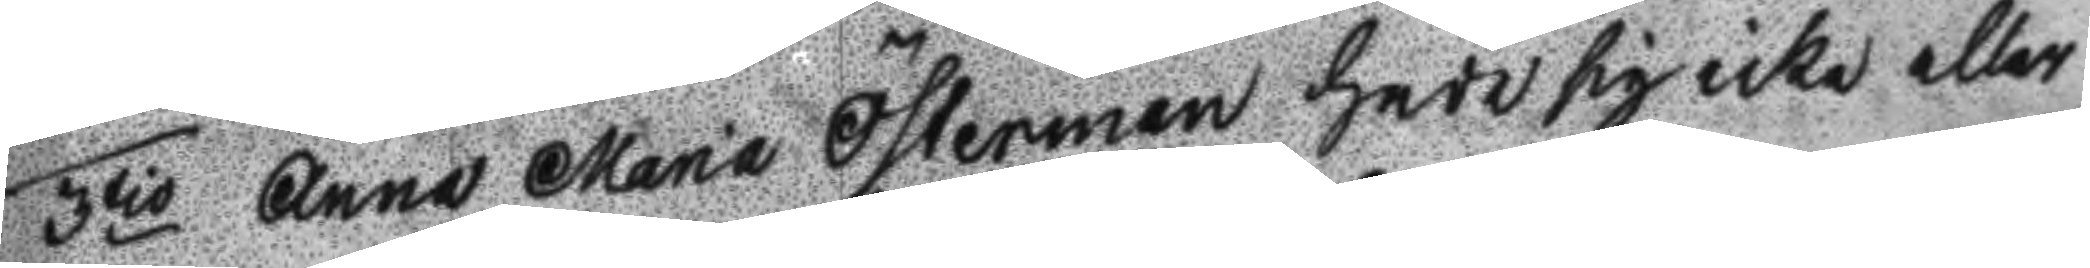3tio Anna Maria Österman hade sig icke eller
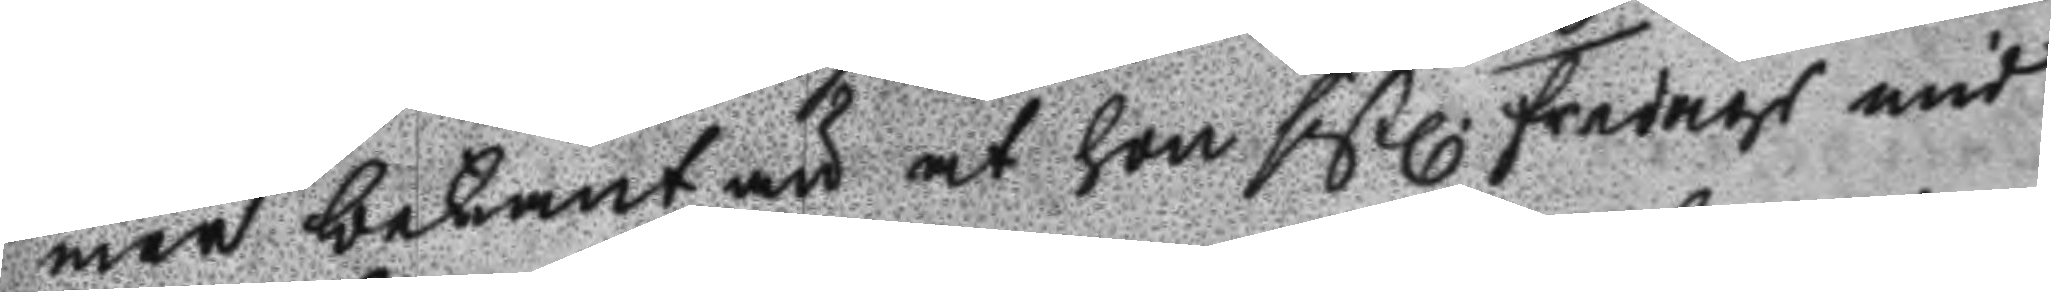mer bekant än at hon sistl. Fredags mid
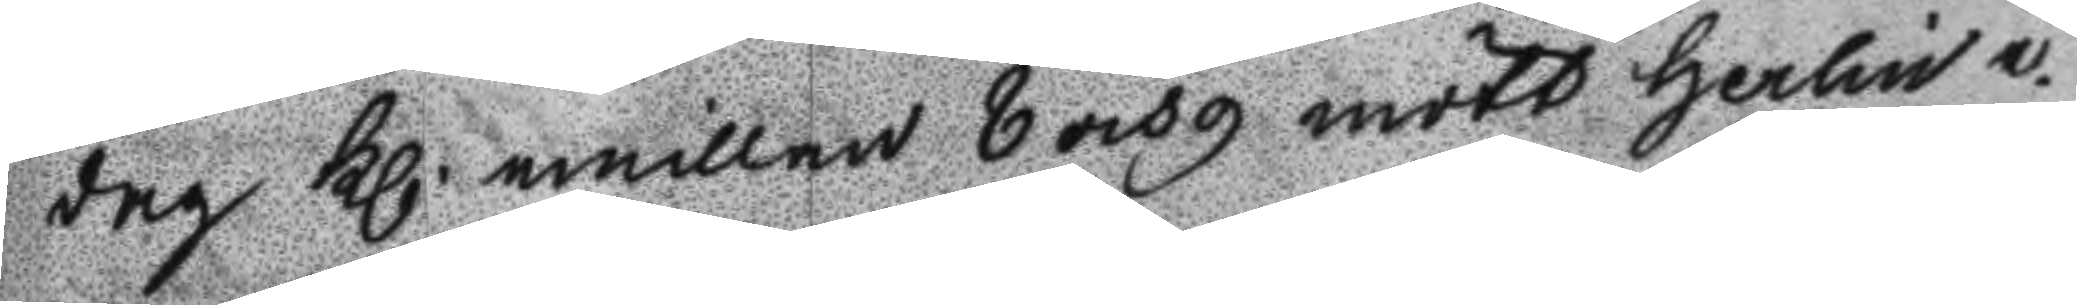dag Kl. emillan 8 och 9 mött Herlin e¬
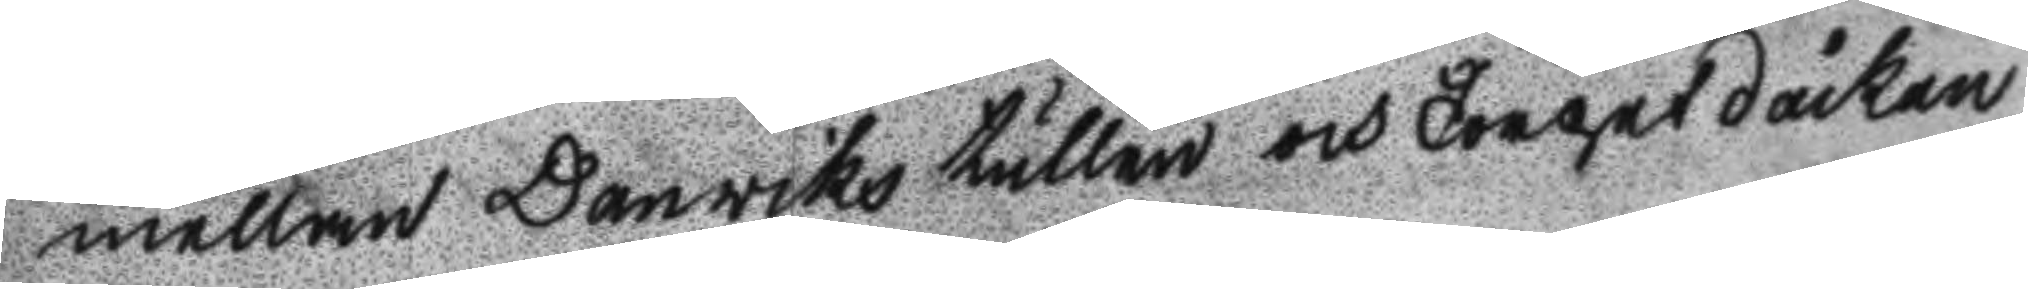mellan Danwiks tullen och Torget dåckan.
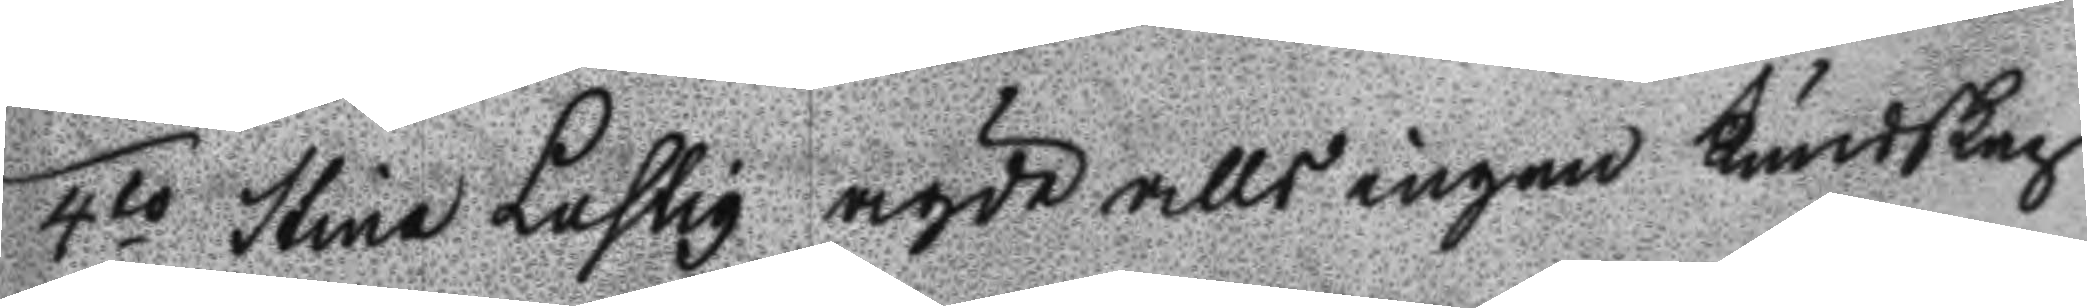4to Stina Lustig ägde alls ingen kundskap
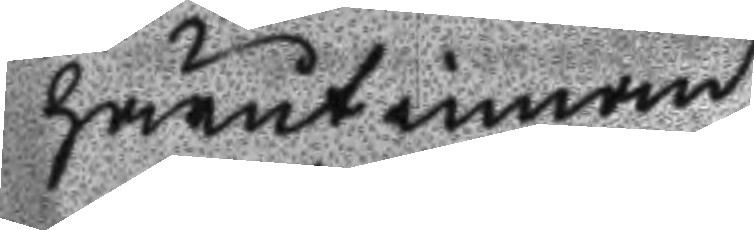härutinnan.
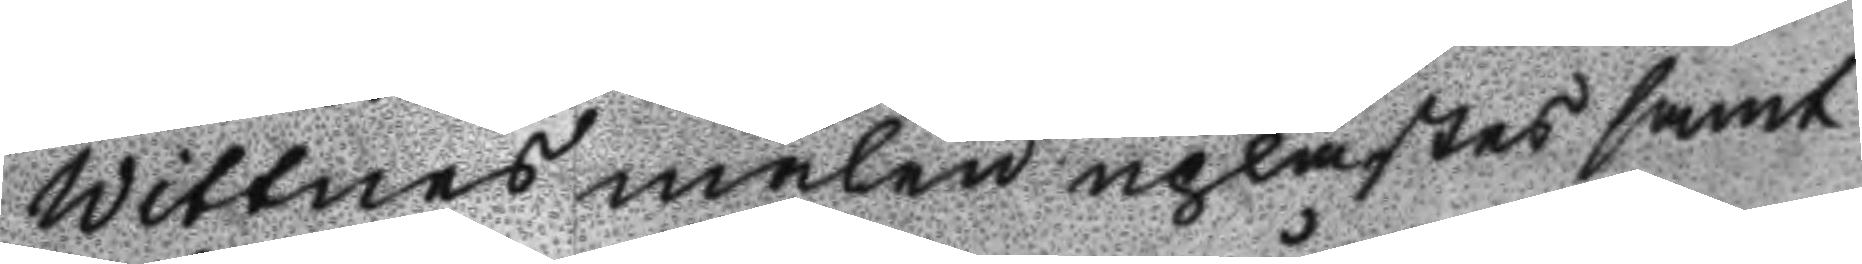Wittnes målen uplästes samt
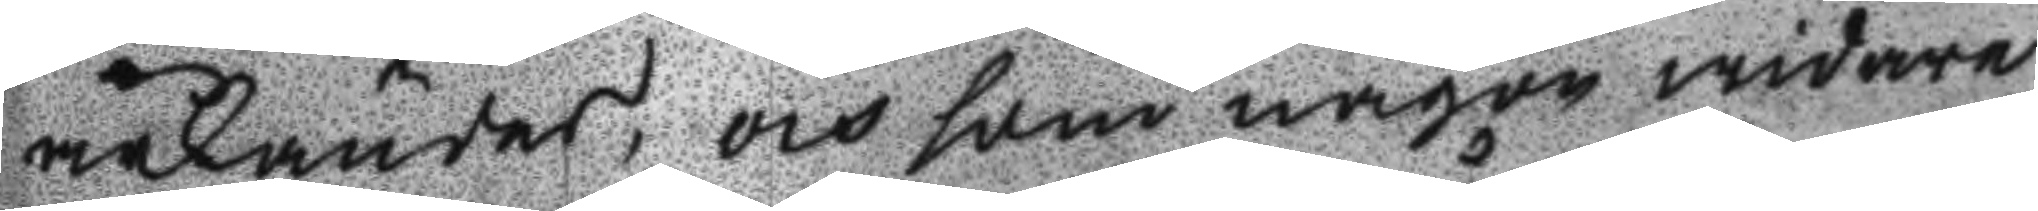ärkändes, och som någon widare
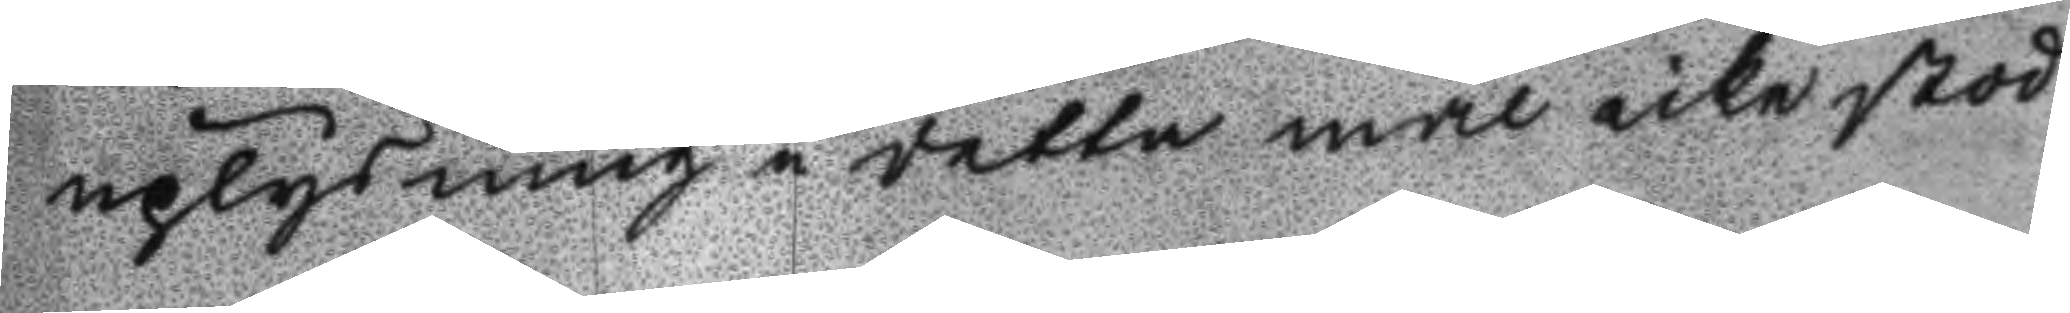uplysning i detta mål icke stod
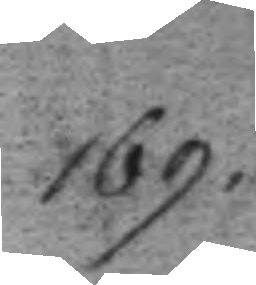169.
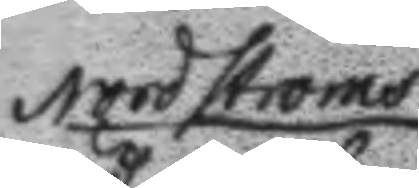Nordströms
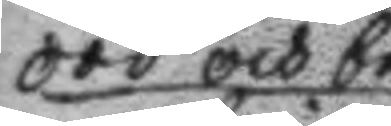död och be
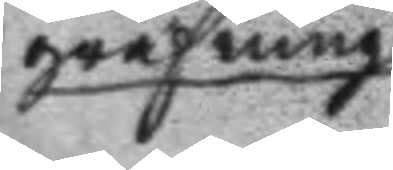grafning
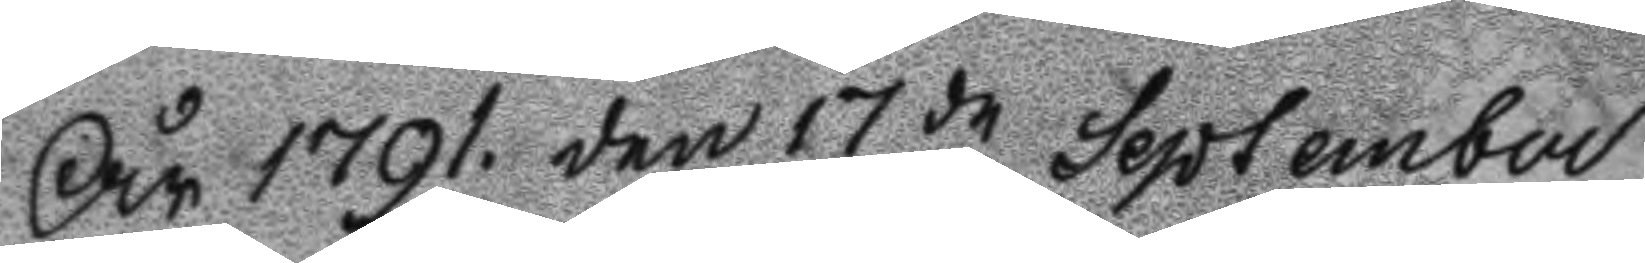År 1791. den 17de September
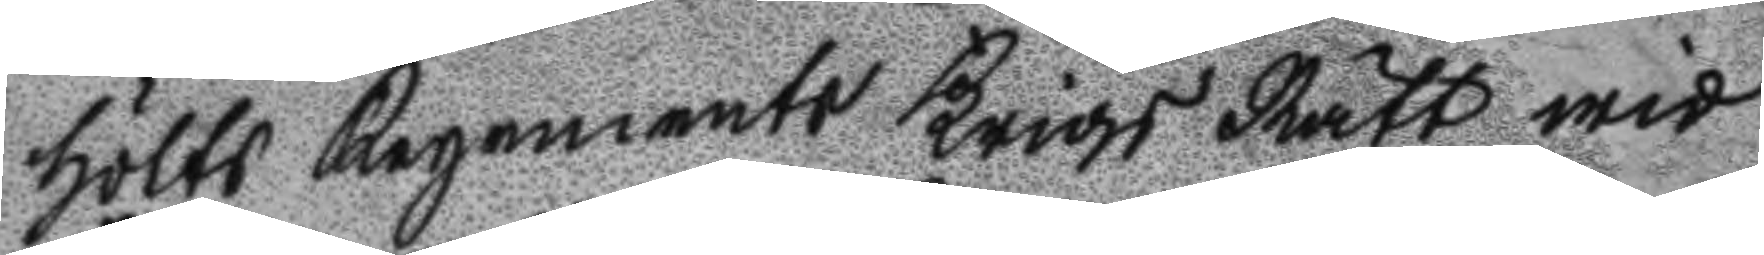hölts Regements Krigs Rätt wid
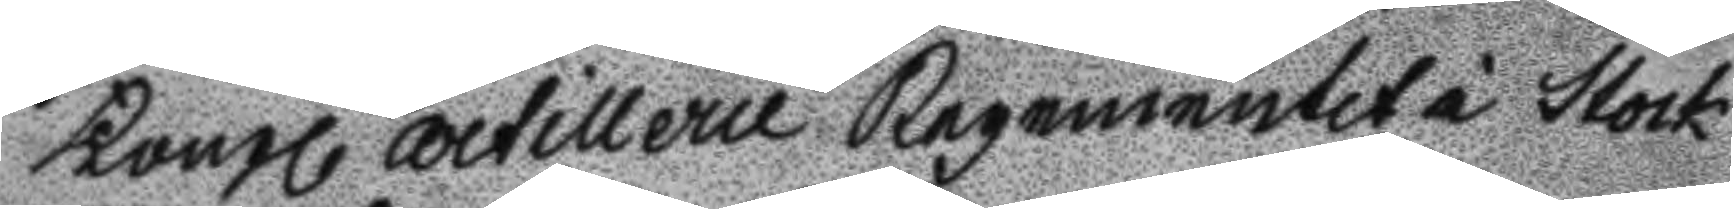Kongl Artillerie Regementet i Stock
